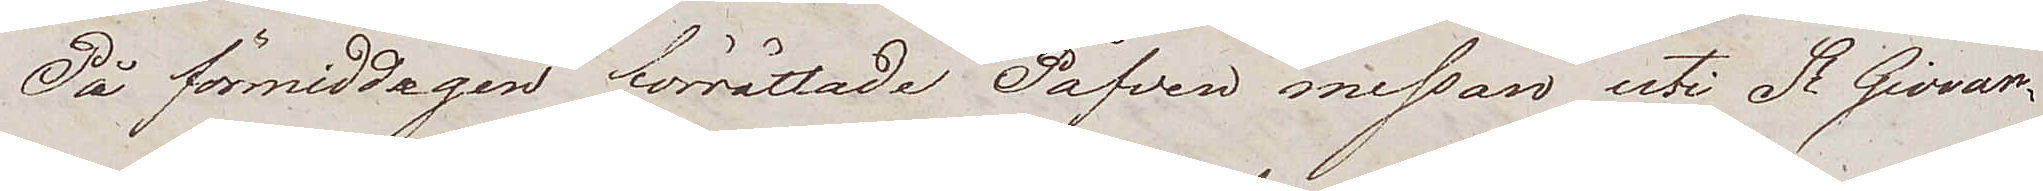På förmiddagen förrättade Påfven messan uti St Giovan¬
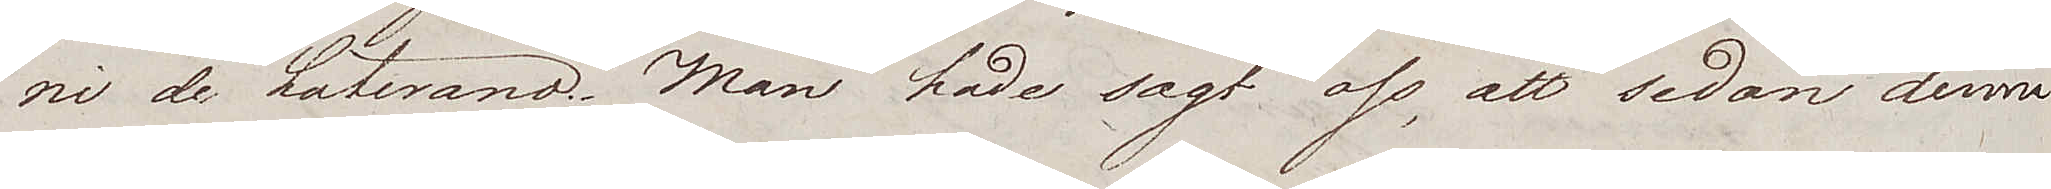ni de Laterano. Man hade sagt oss, att sedan denne
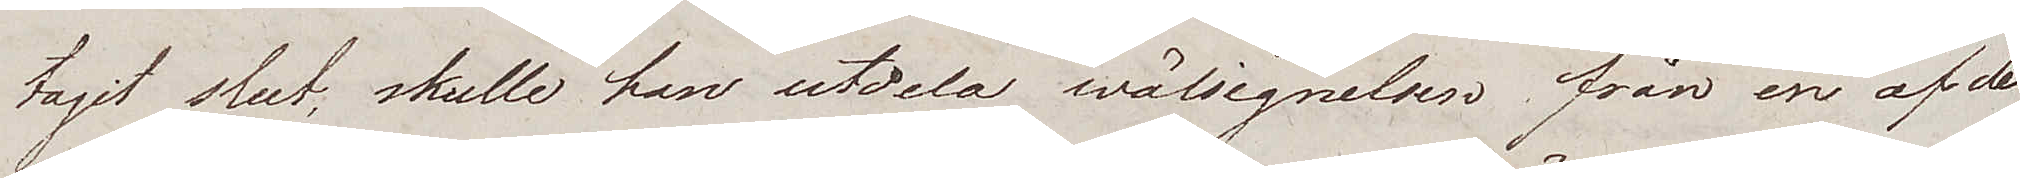tagit slut, skulle han utdela wälsignelsen från en af de
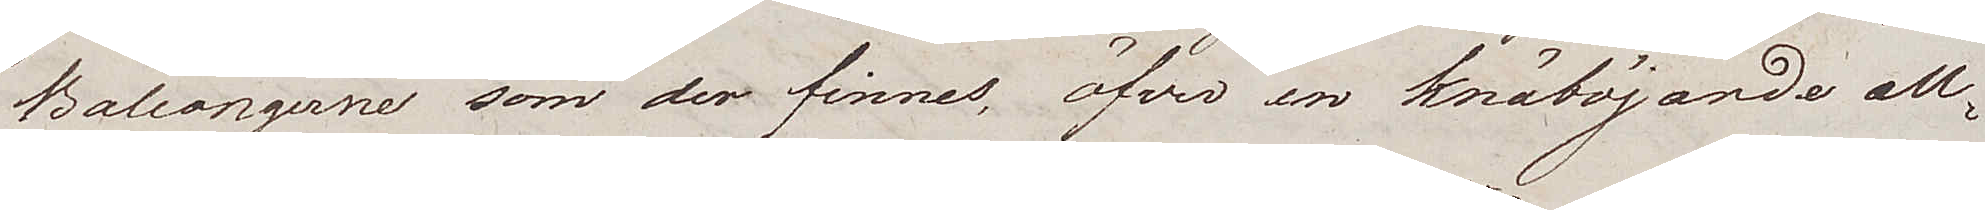Balcongerne som der finnes, öfver en knäböjande all¬
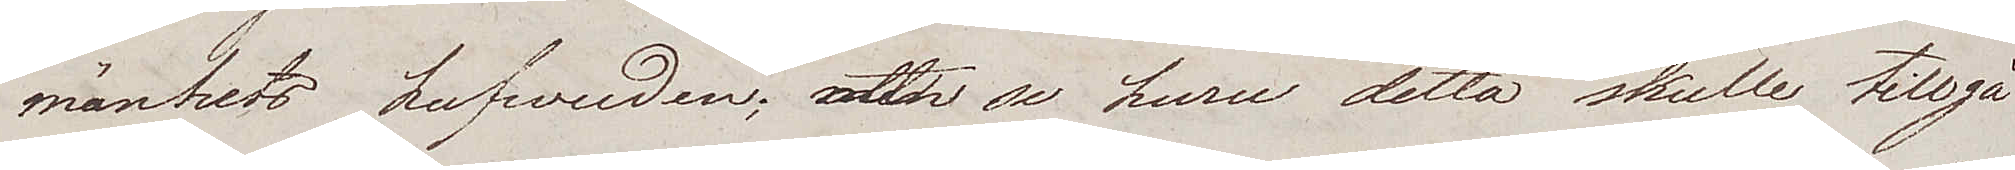mänhets hufwuden; att se huru detta skulle tillgå
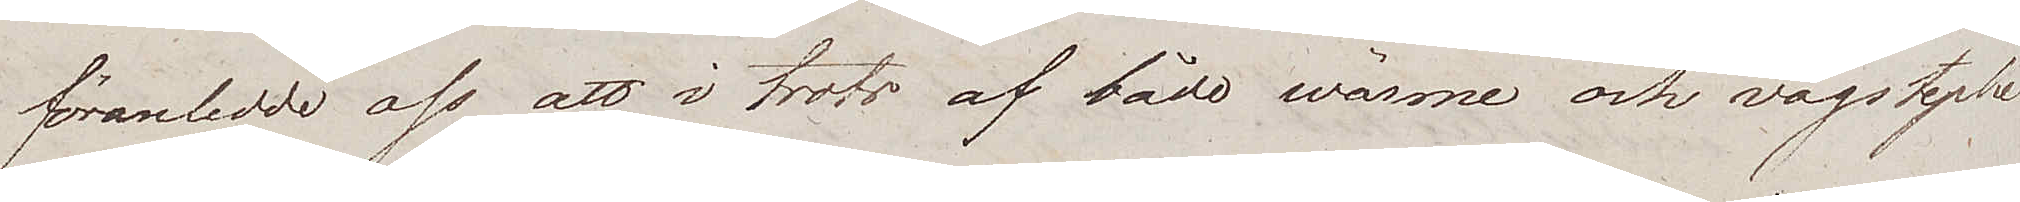föranledde oss att i trots af både wärme och vägstycke
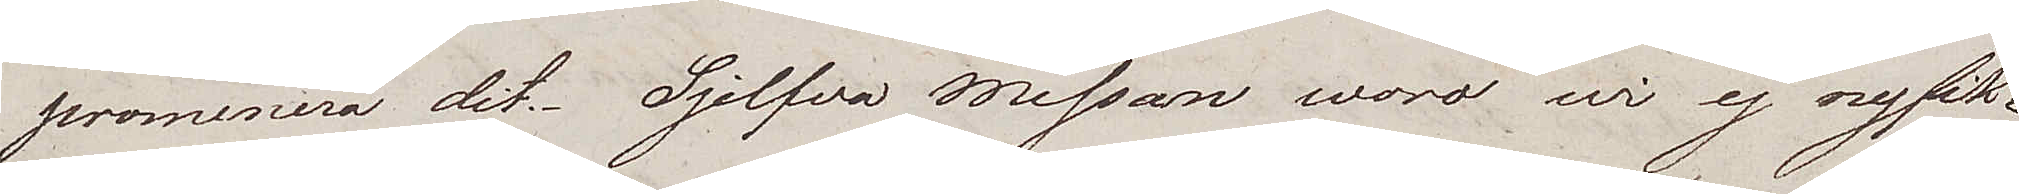promenera dit. Sjelfva Messan woro wi ej nyfik¬
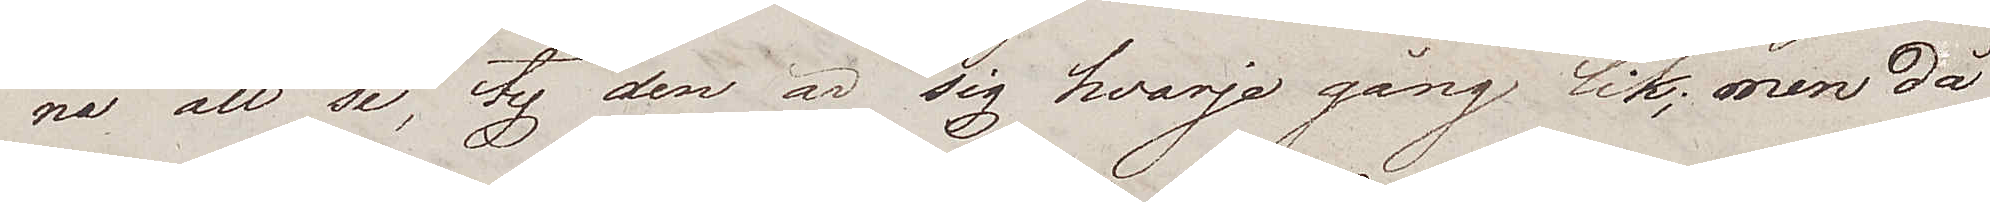na att se, ty den är sig hvarje gång lik; men då
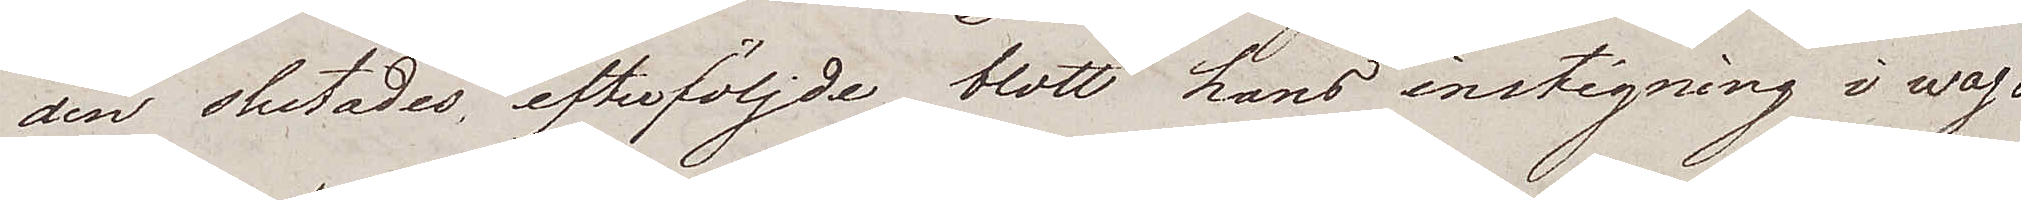den slutades, efterföljde blott hans instigning i wag¬
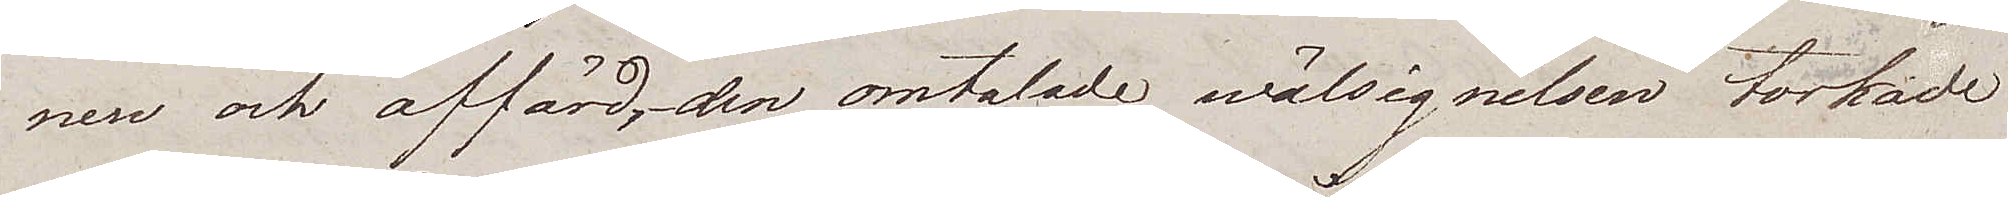nen och affärd, den omtalade wälsignelsen torkade
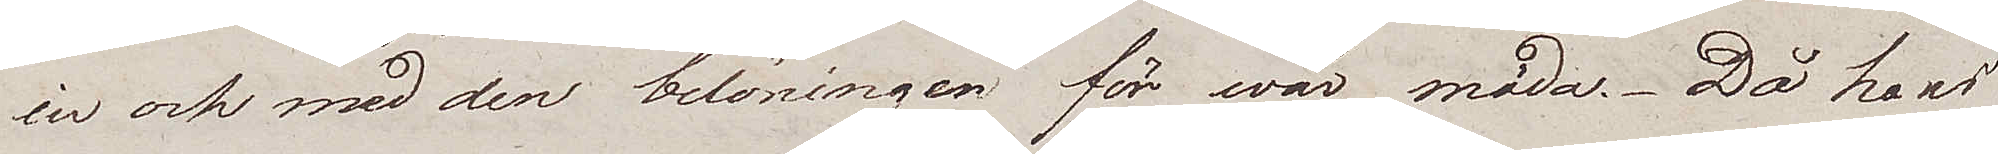in och med den belöningen för wår möda. Då hans
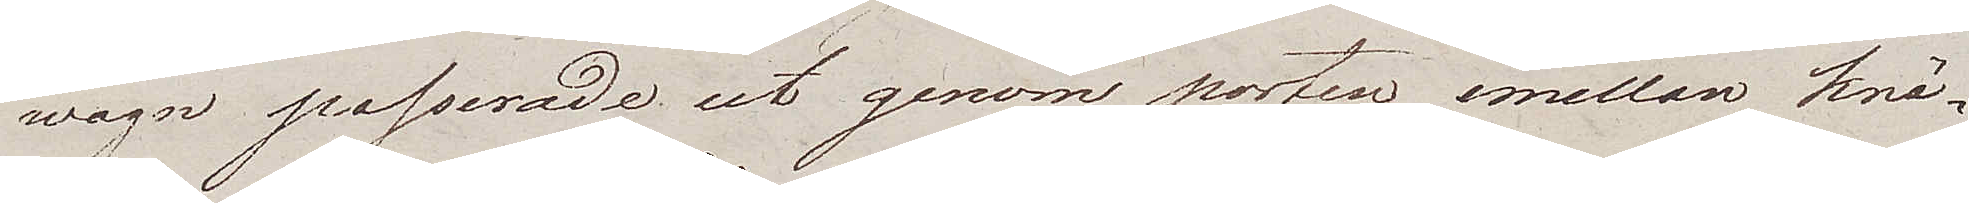wagn passerade ut genom porten emellan knä¬
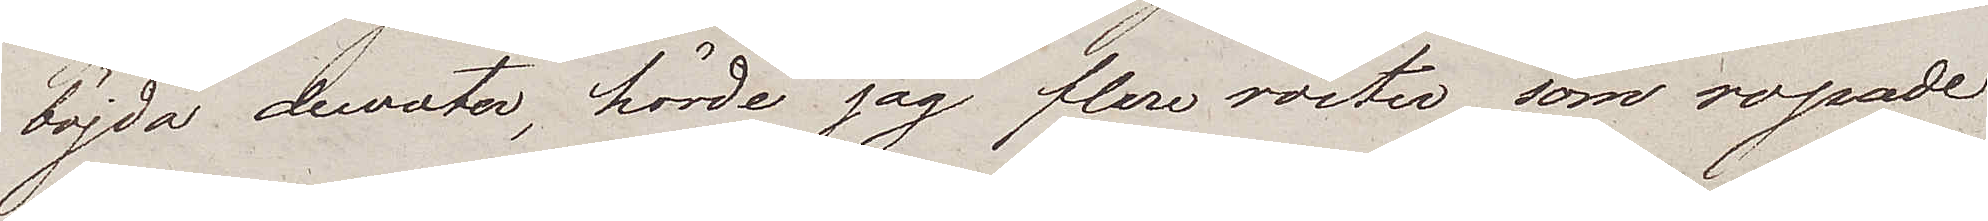böjda dewoter, hörde jag flere röster som ropade
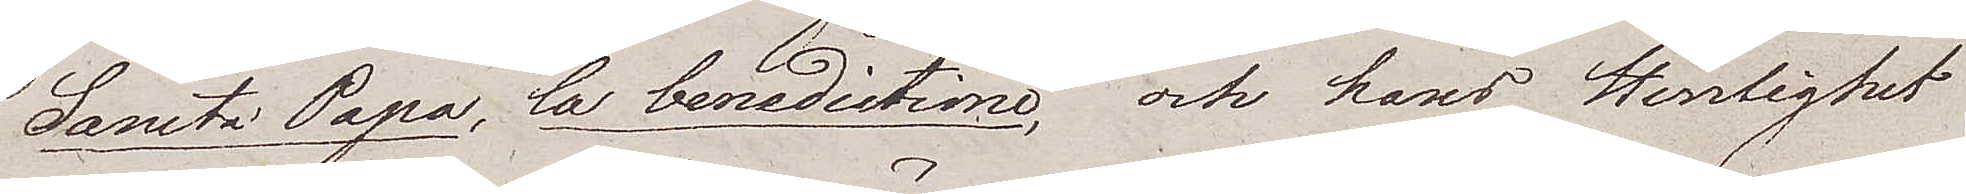Sancta Papa, la benedictino, och hans Herrlighet
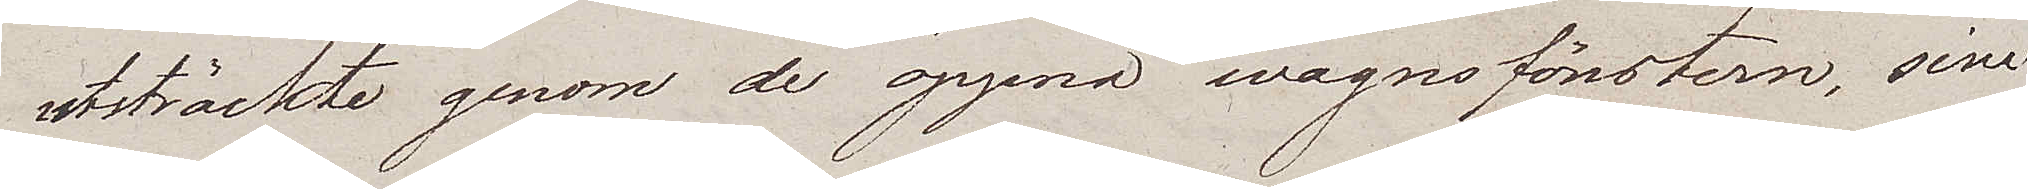utsträckte genom de öppna wagnsfönstern, sina
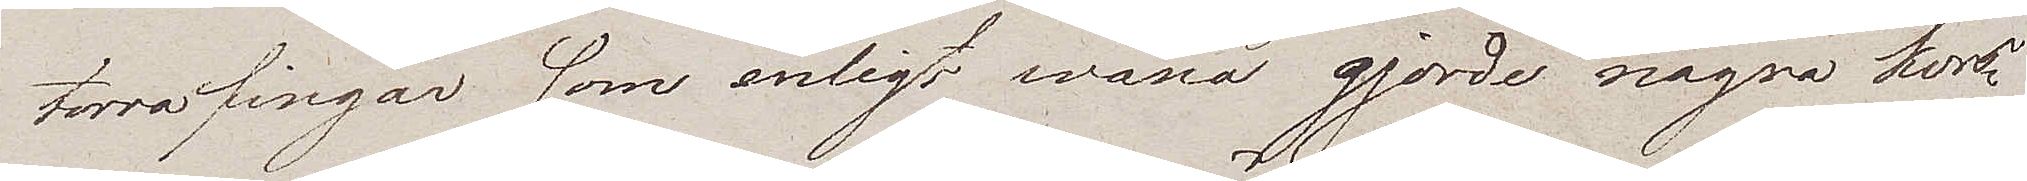torra fingar som enligt wana gjorde några kors¬
